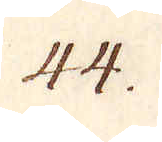44.
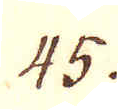45.
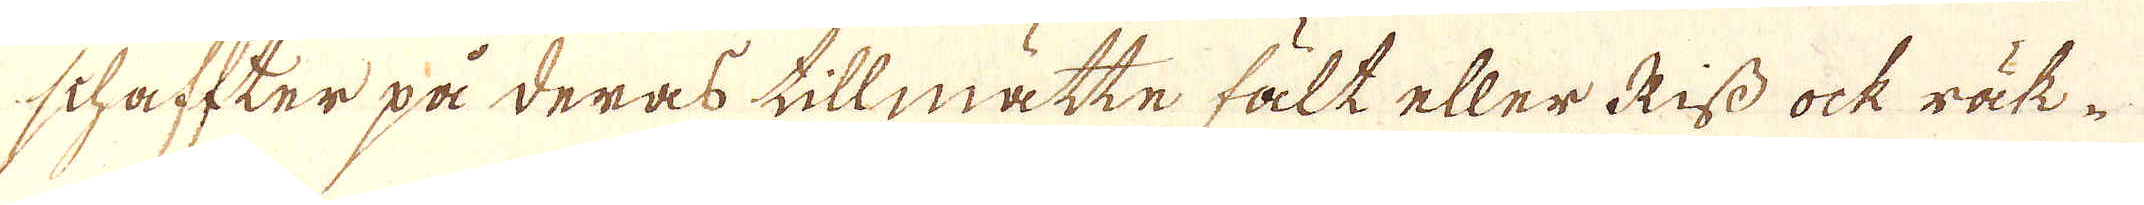schaffter på deras tillmåtte fält eller Riss ock räk-
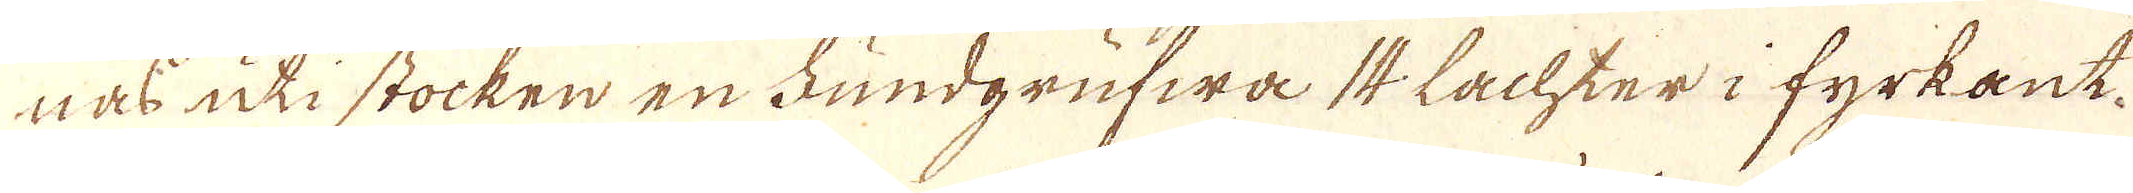nas uti stocken en Fundgrufwa 14 Lachter i fyrkant.
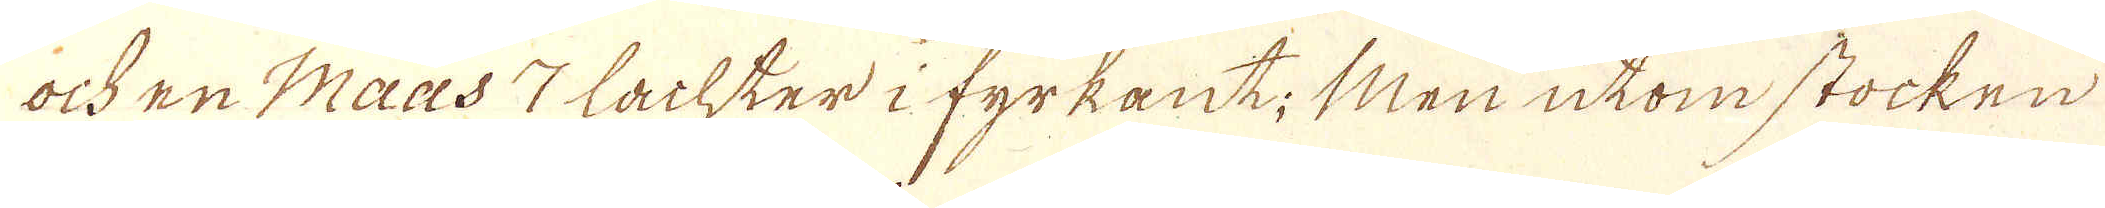och en Maas 7 Lachter i fyrkant; Men utom stocken
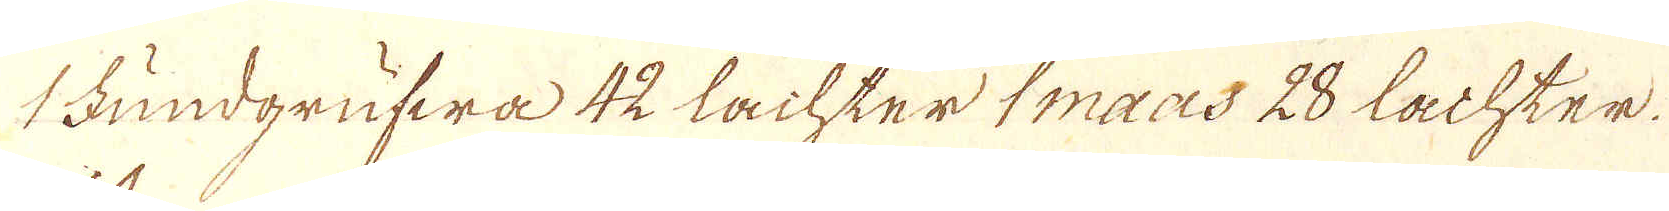1 Fundgrufwa 42 Lachter maas 28 Lachter.
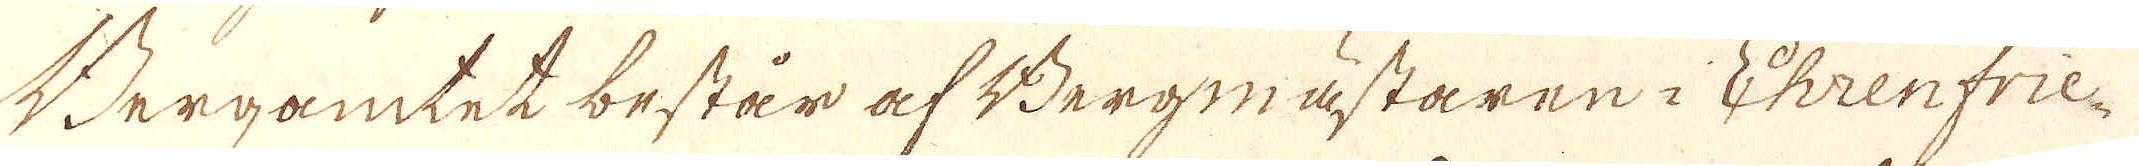Bergamtet består af Bergmästaren i Ehrenfrie-
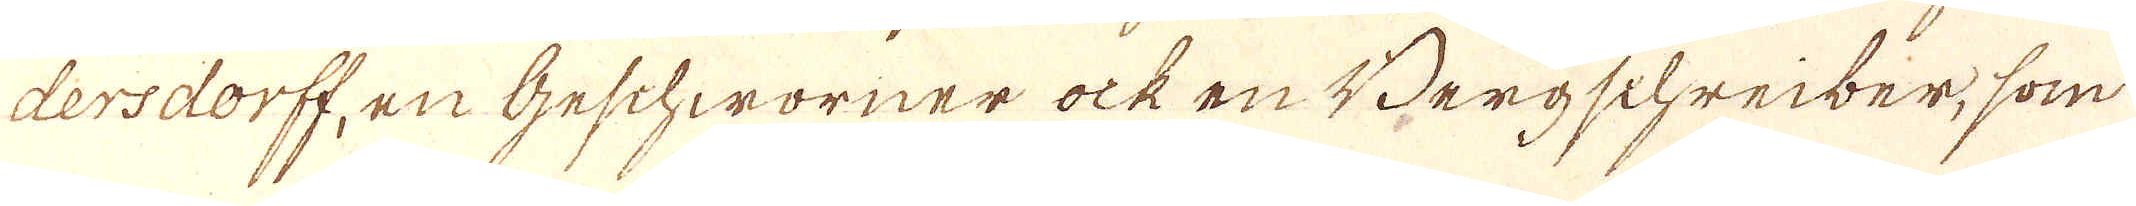dersdorff, en Geschworner ock en Bergschreiber, som
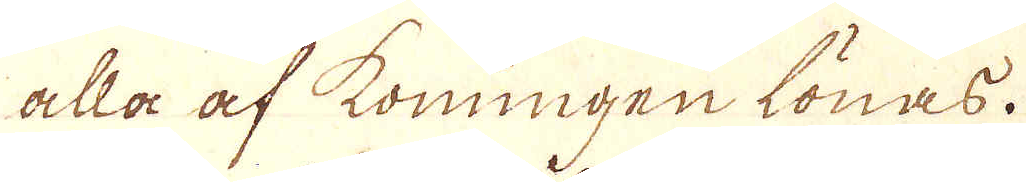alla af konungen lönas.
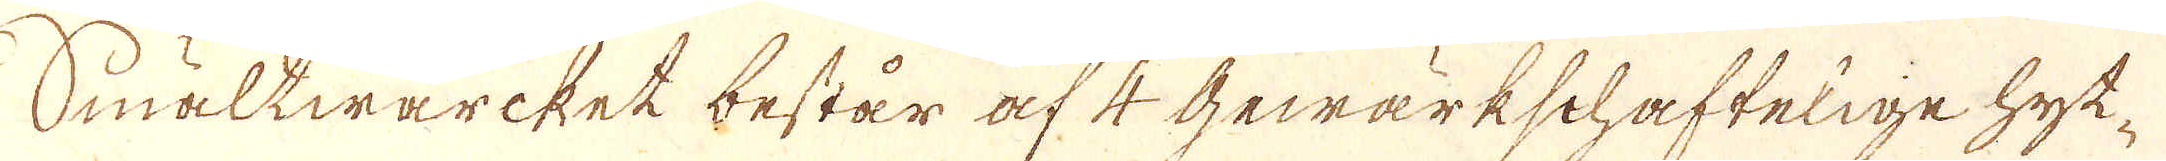Smältwärket består af 4 Gewärkschaftelige hyt-
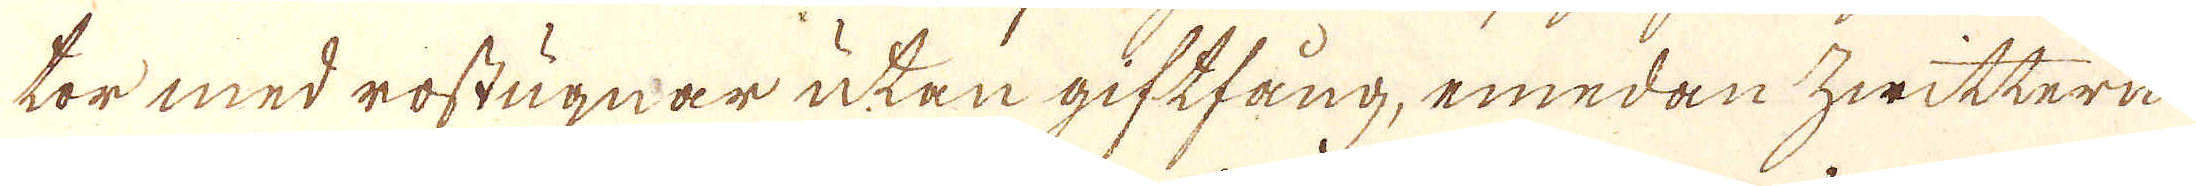tor med rostugnar utan giftfång, emedan hwittern
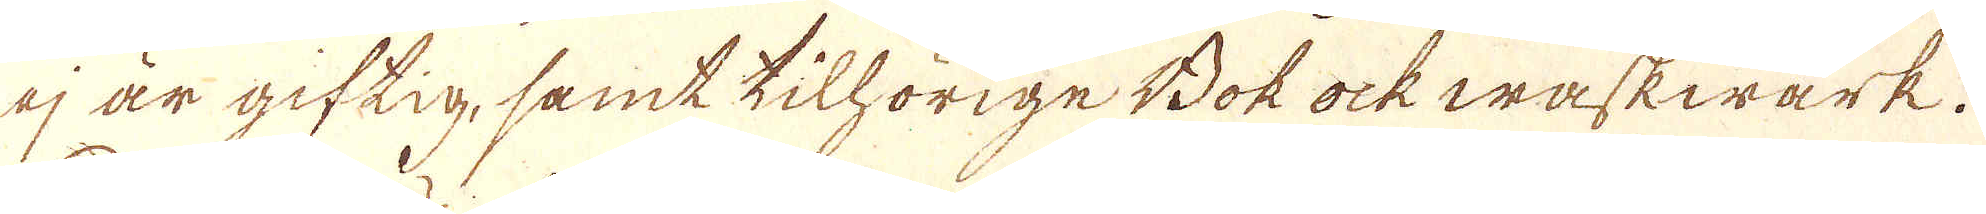ej är giftig, samt tilhörige Bok ock waskwärk.
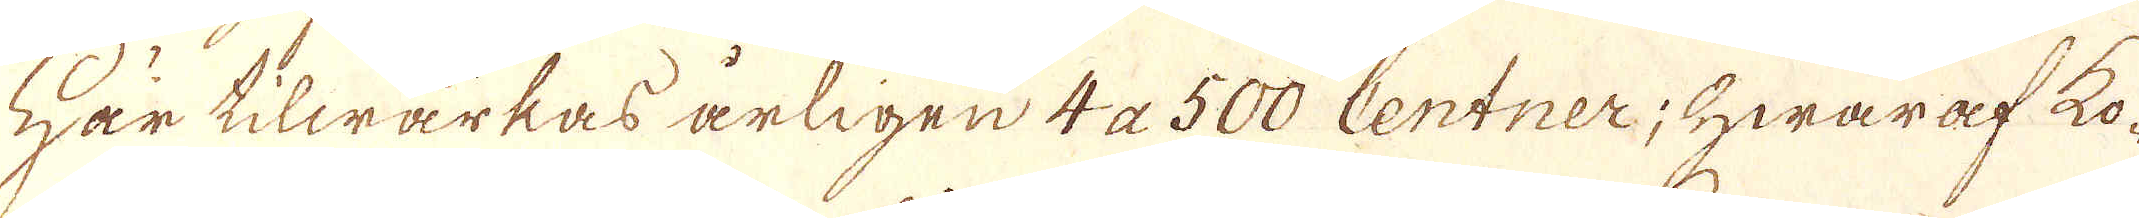Här tilwärkas årligen 4 a 500 Centner, hwaraf ko-
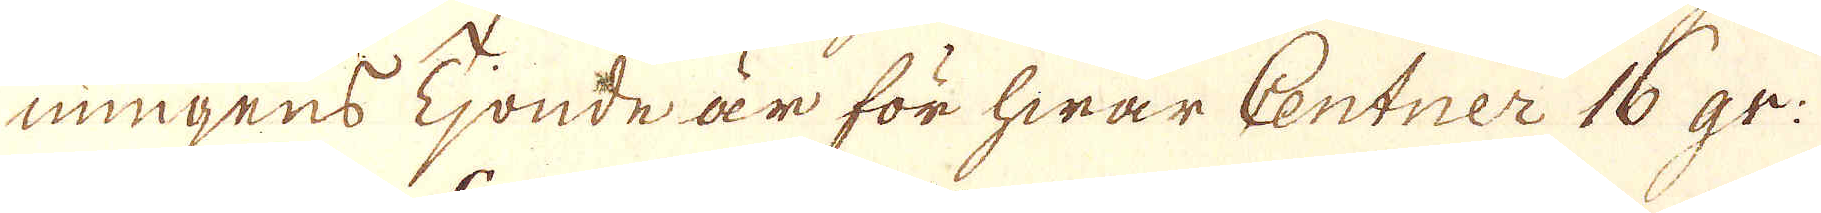ningens Tjonde är för hwar Centner 16 gr:
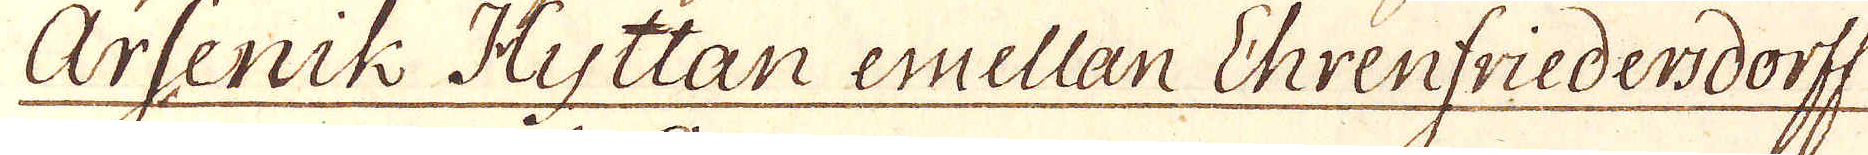Arsenik Hyttan emellan Ehrenfriederdorff
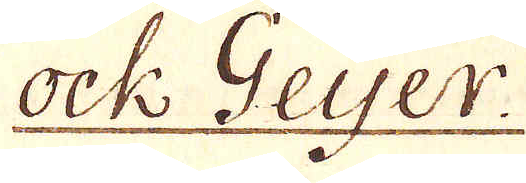ock Geier.
